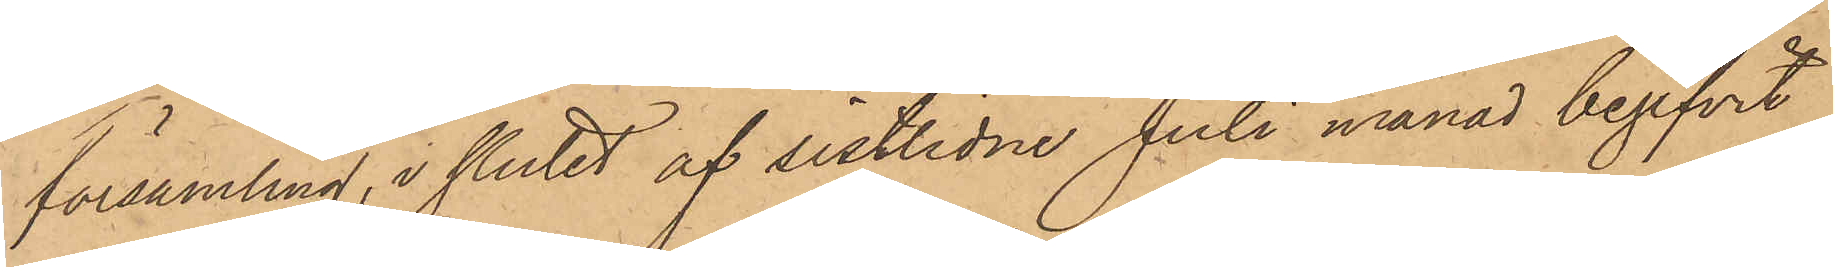församling, i slutet af sistlidne Juli månad begifvit
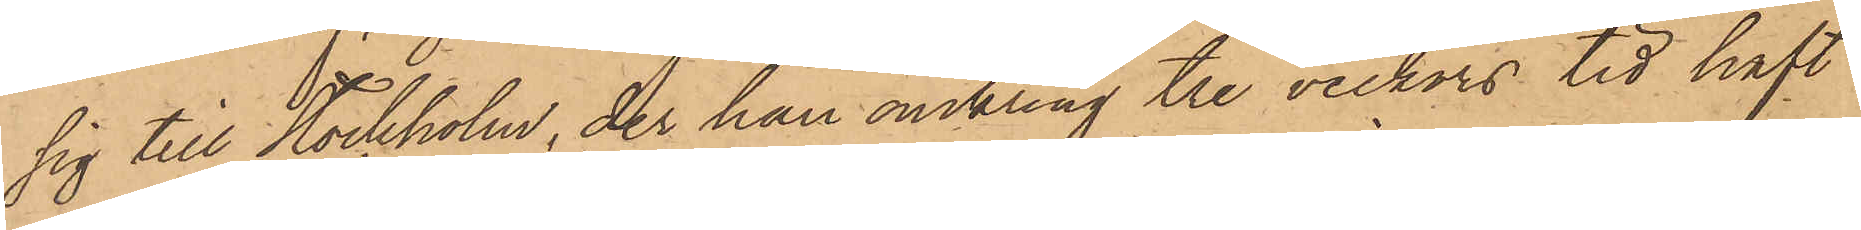sig till Stockholm, der han omkring tre veckors tid haft
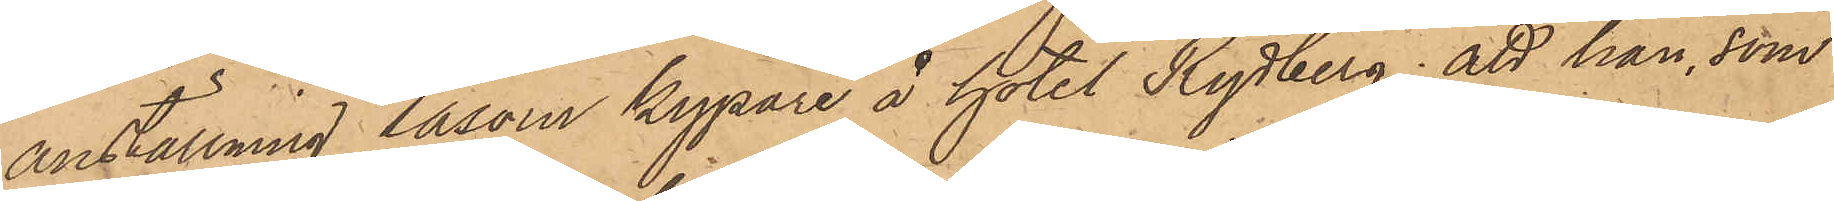anställning såsom kypare å Hotel Rydberg; att han, som
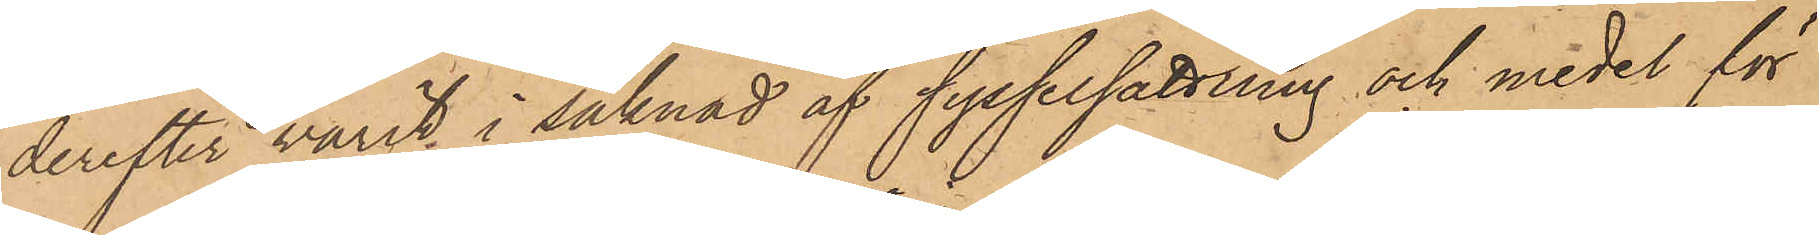derefter varit i saknad af sysselsättning och medel för
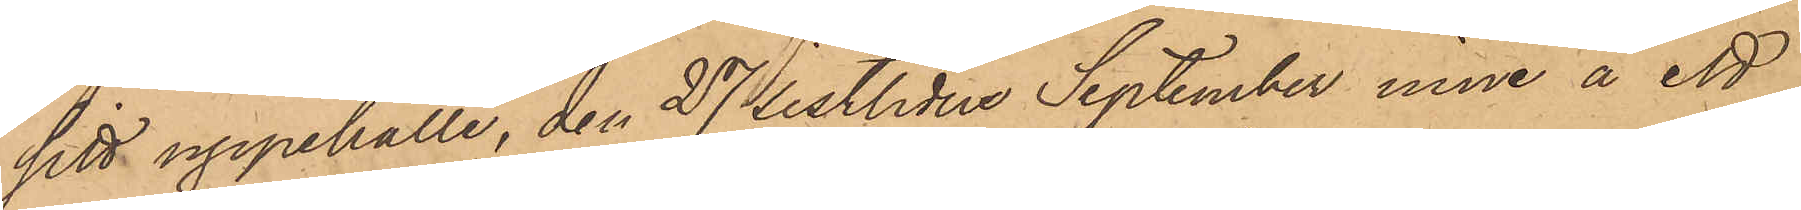sitt uppehälle, den 27 sistlidne September inne å ett
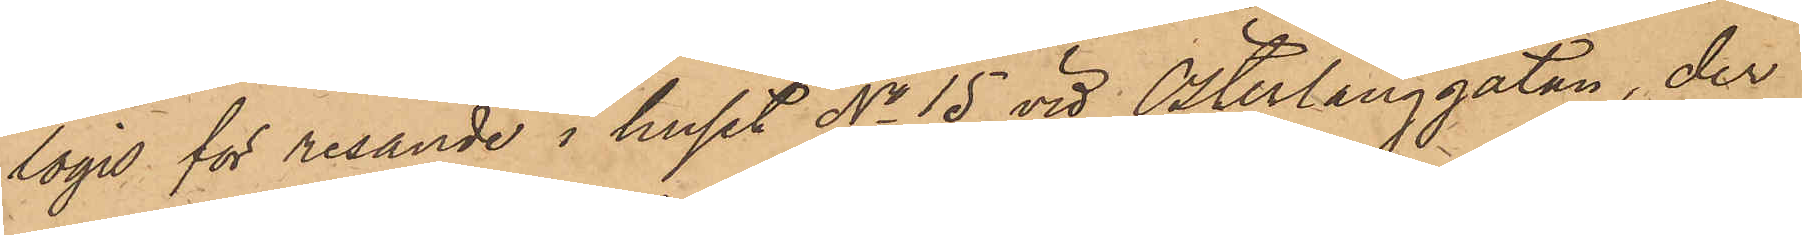logis för resande i huset No 15 vid Österlånggatan, der
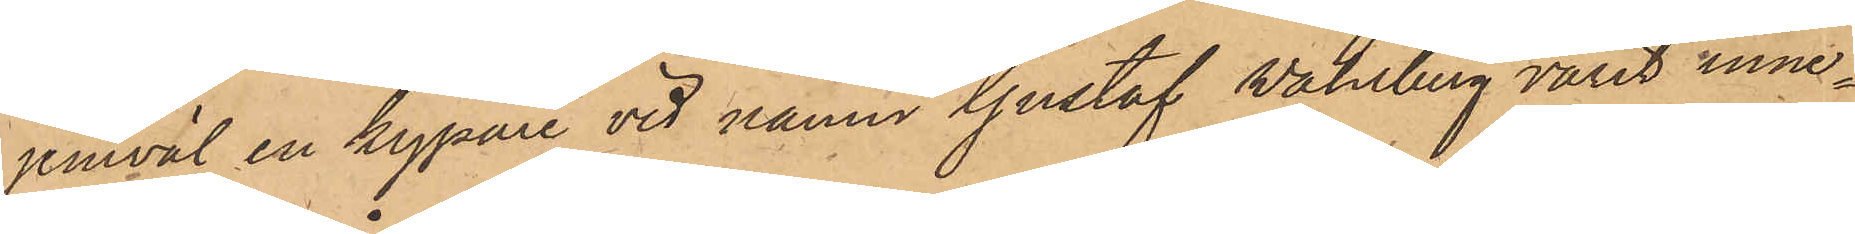jemväl en kypare vid namn Gustaf Wahlberg varit inne¬
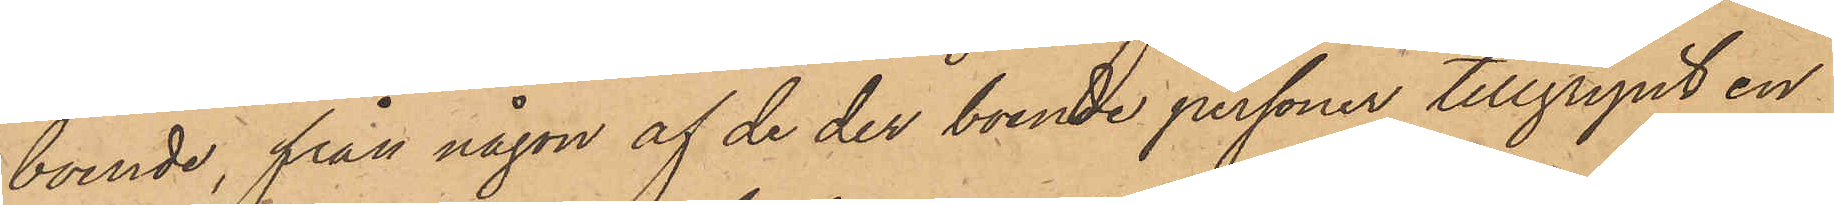boende, från någon af de der boende personer tillgripit en
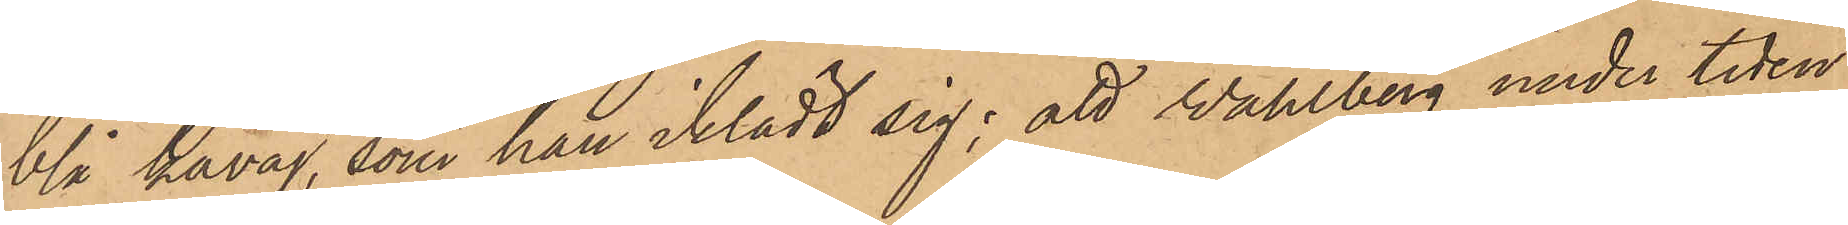blå kavaj, som han iklädt sig; att Wahlberg under tiden
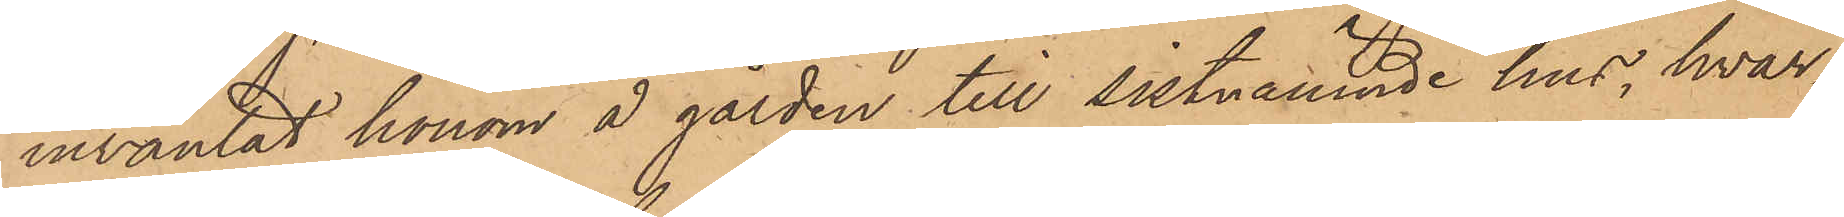inväntat honom å gården till sistnämnde hus, hvar¬
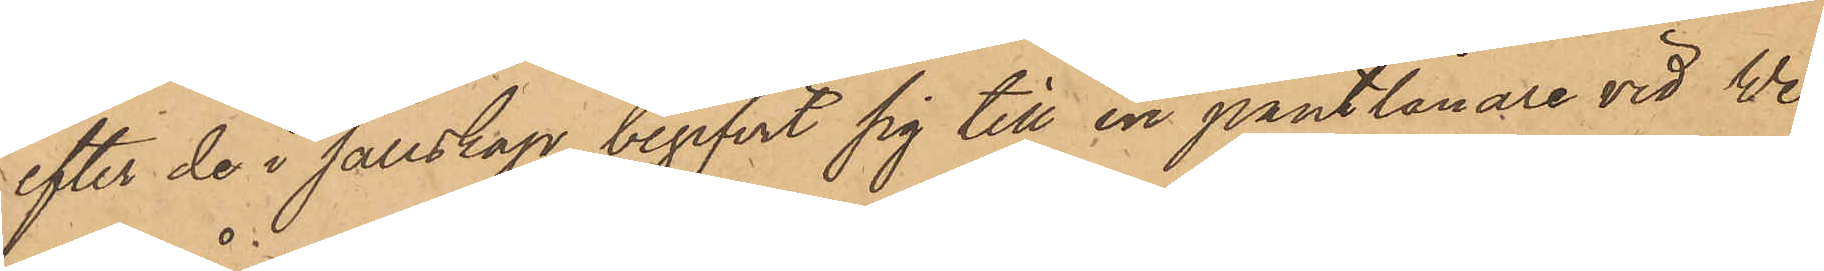efter de i sällskap begifvit sig till en pantlånare vid Wes¬
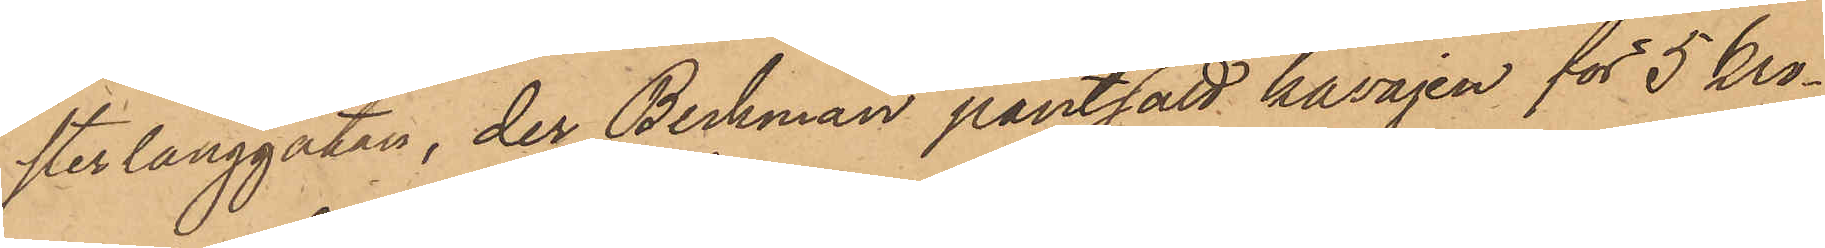sterlånggatan, der Beckman pantsatt kavajen för 5 kro¬
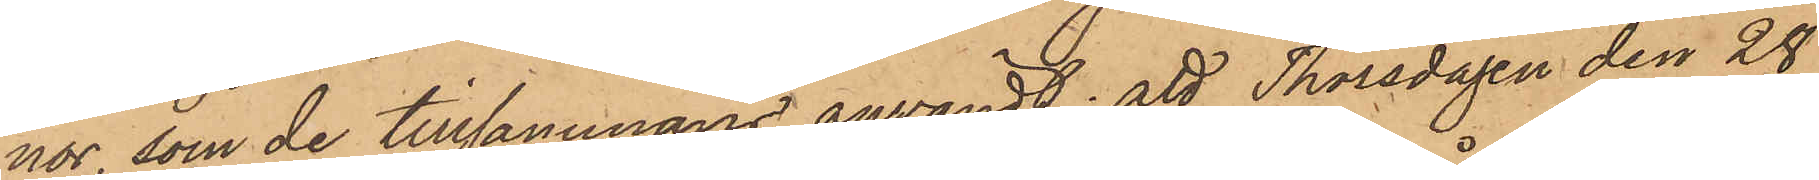nor, som de tillsammans användt; att Thorsdagen den 28
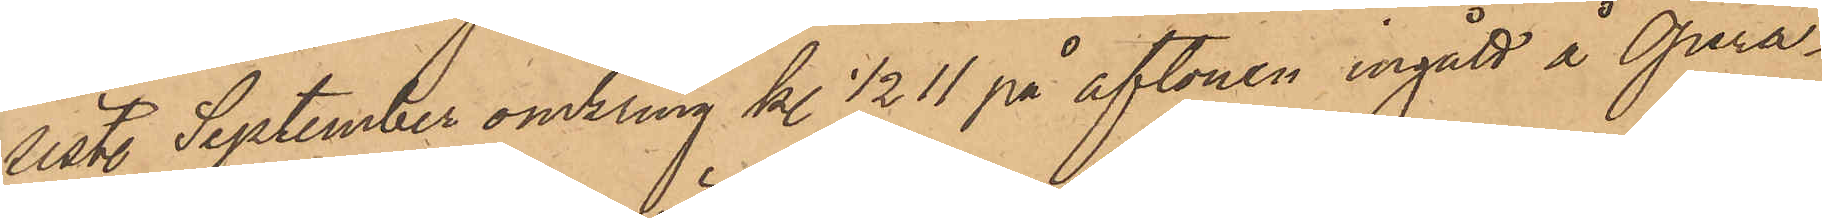sist. September omkring kl ½11 på aftonen ingått å Opera¬
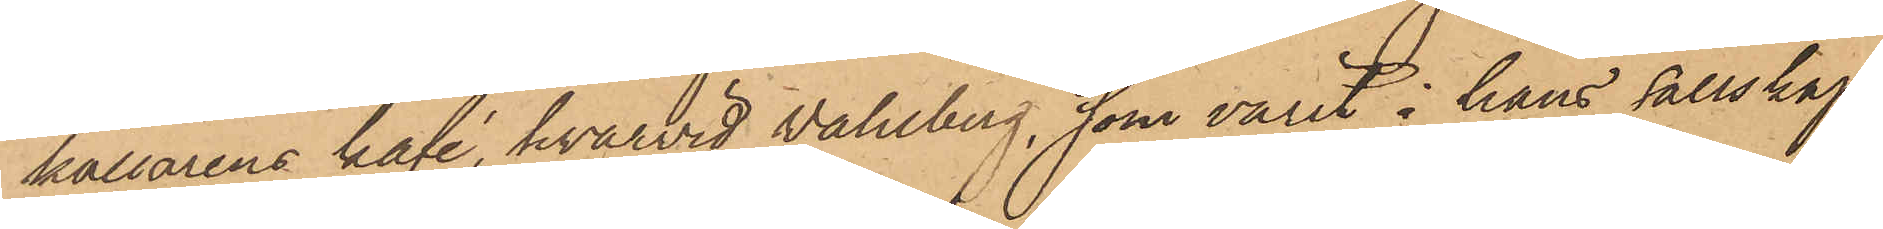källarens kafé, hvarvid Wahlberg, som varit i hans sällskap,
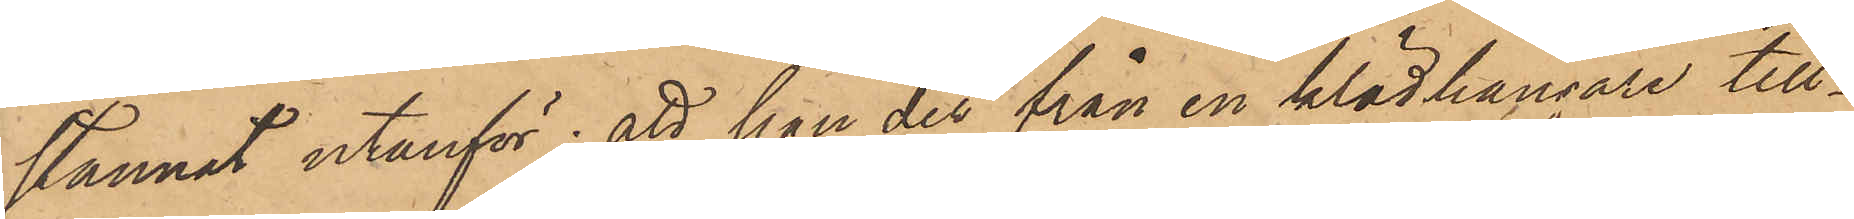stannat utanför; att han der från en klädhängare till¬
